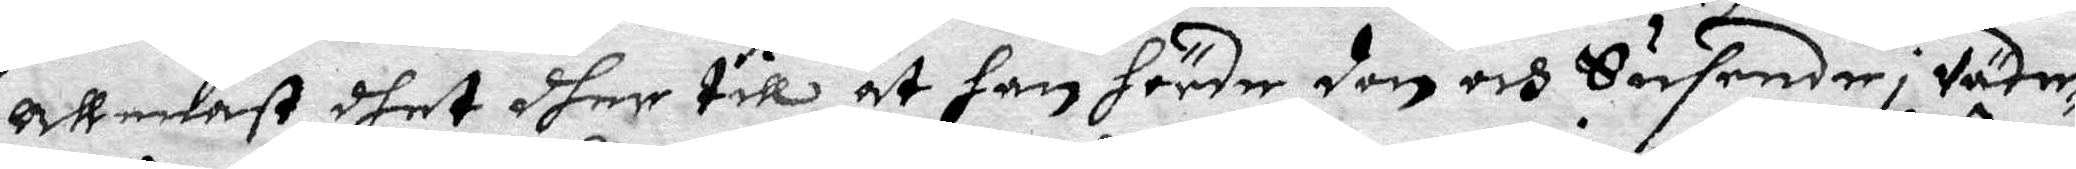allenst dhet dher till at han hörde den och Susende i Väde¬
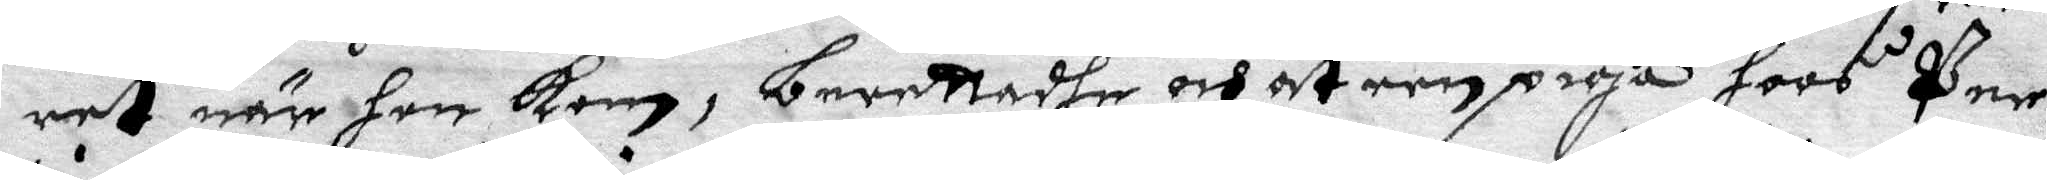ret när hon kom, berettadhe och at een piga hoos Per
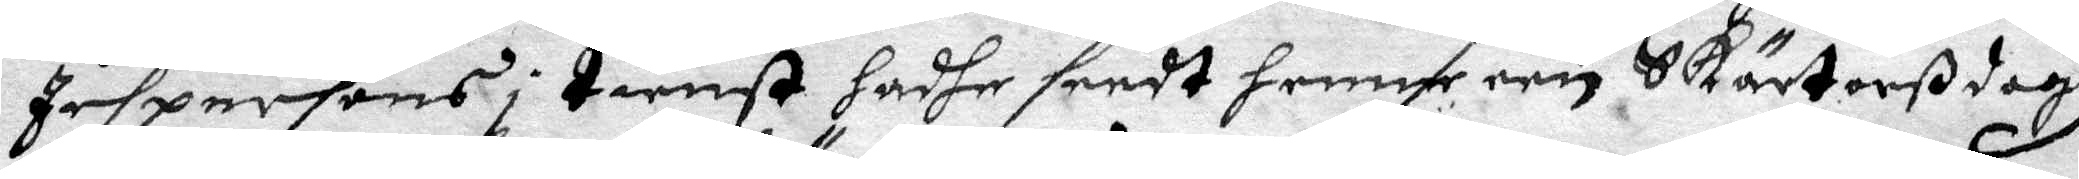Jispersons i tienst hadhe seedt henne een Skärtorßdagz
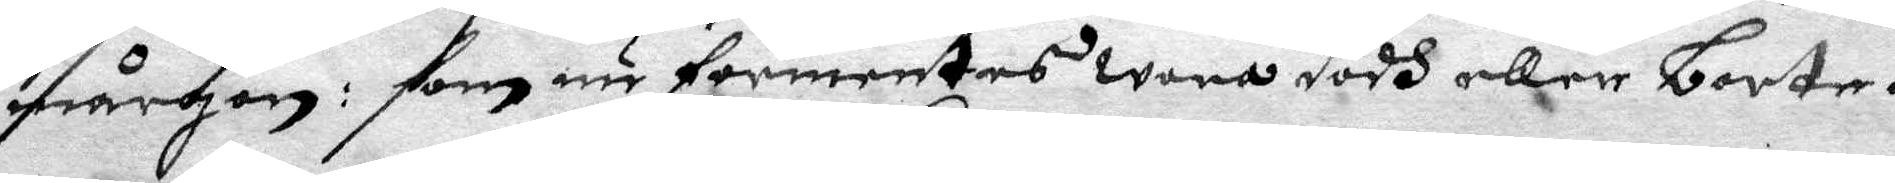mårgon: som nu förmentes wara dödh eller borta.
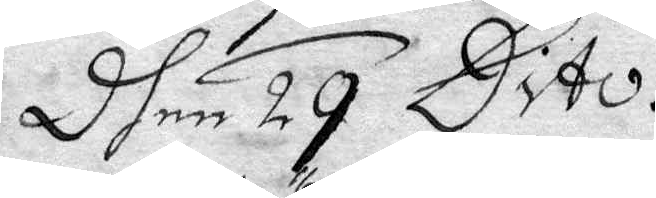Dhen 29 Dito.
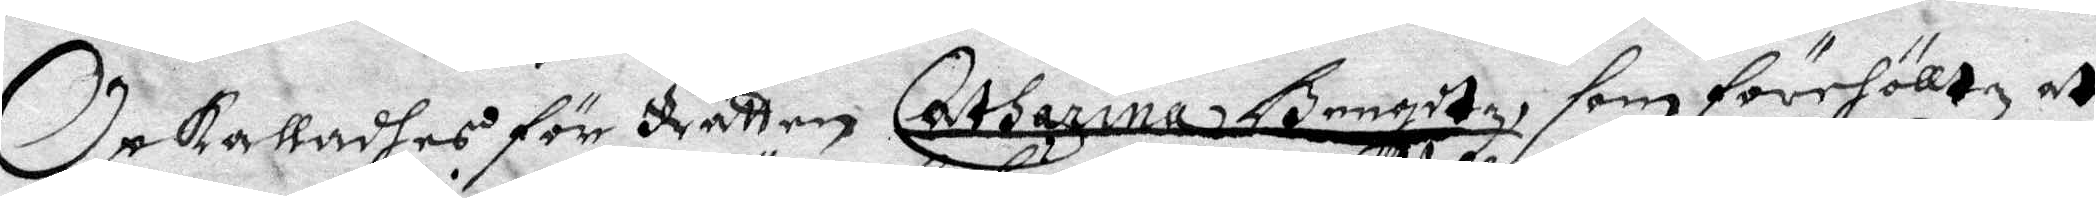Opkalladhes för Rätten Catharina Bengdtz som förehölltz at
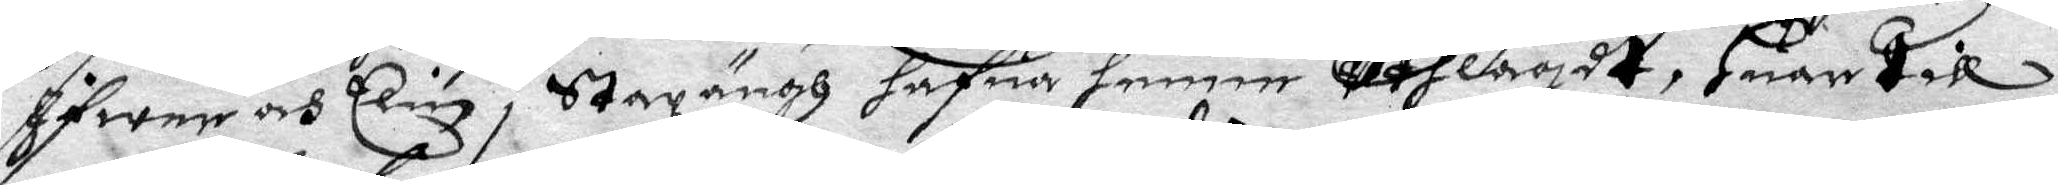Ifwer och Elin i Stazängh hafua henne uthlagdt, huar till
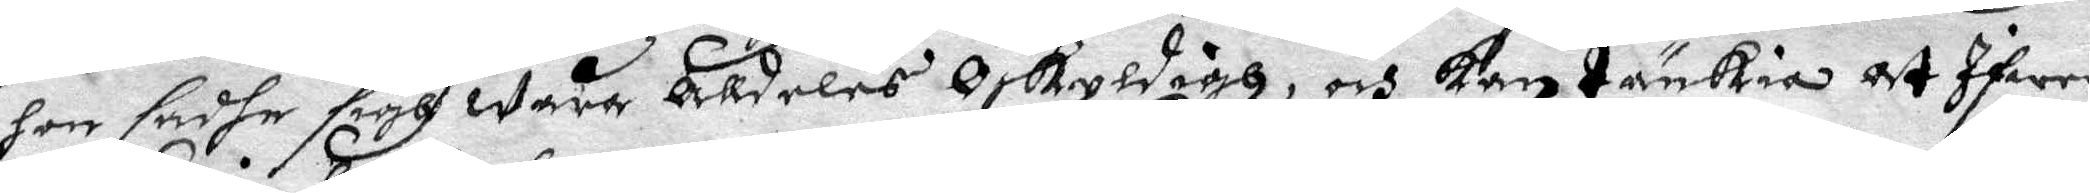hon sadhe sigh wara alldeles Oskyldigh, och kan tänkia at Ifwer
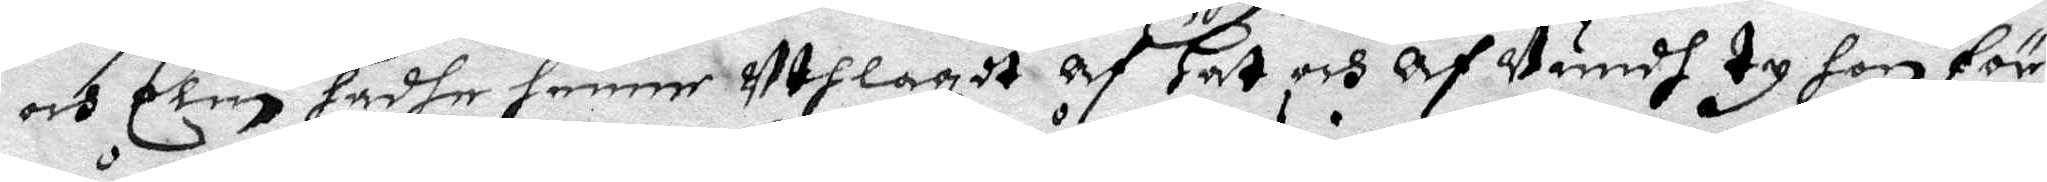och Elin hadhe henne uthlagdt af hat och afVundh ty hon för
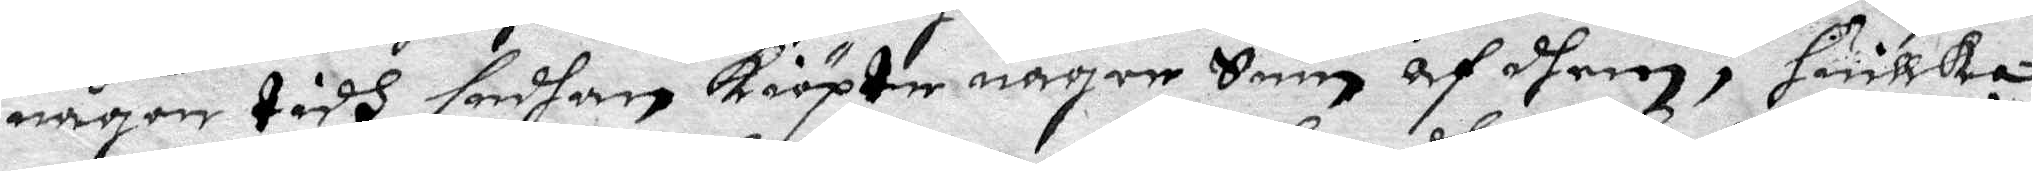någon tidh sedhan Kiöpte någre Swin af dhem, huilka
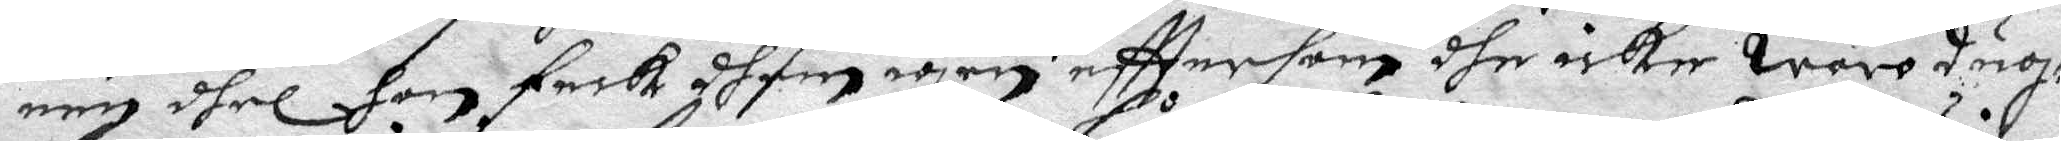een dhel hon feck dhem igen efttersom dhe icke woro dug¬
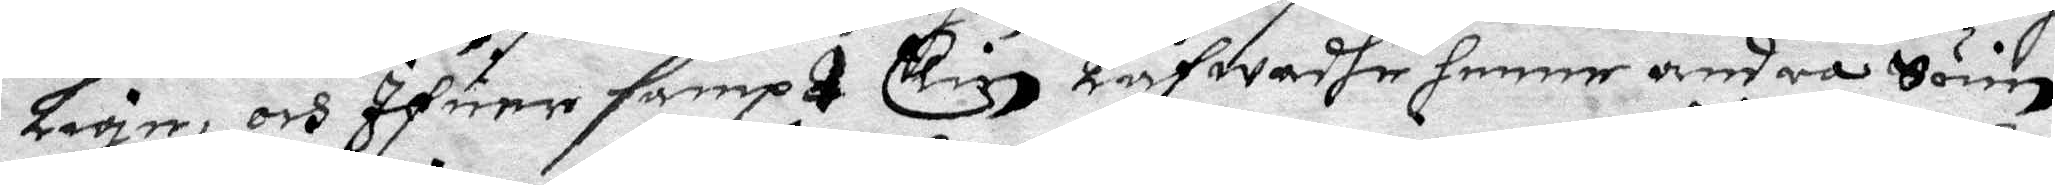lige, och Ifwer sampt Elin Låfwadhe henne andra Vuin
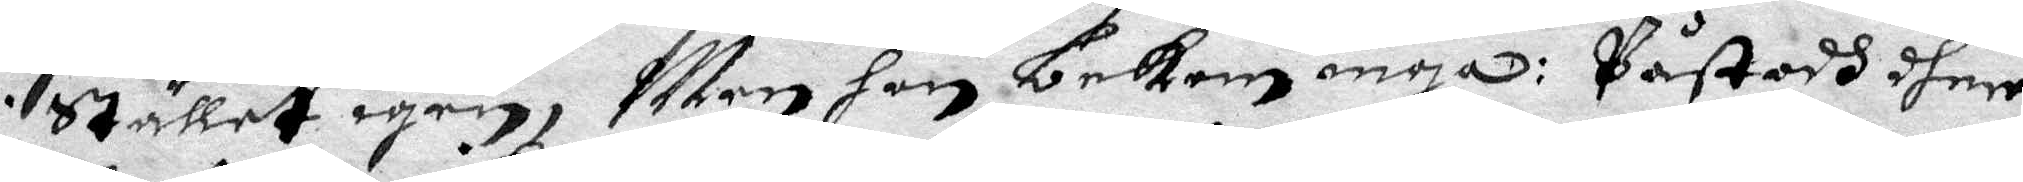i Stället igen, Men hon bekom inga: Påstodh dher
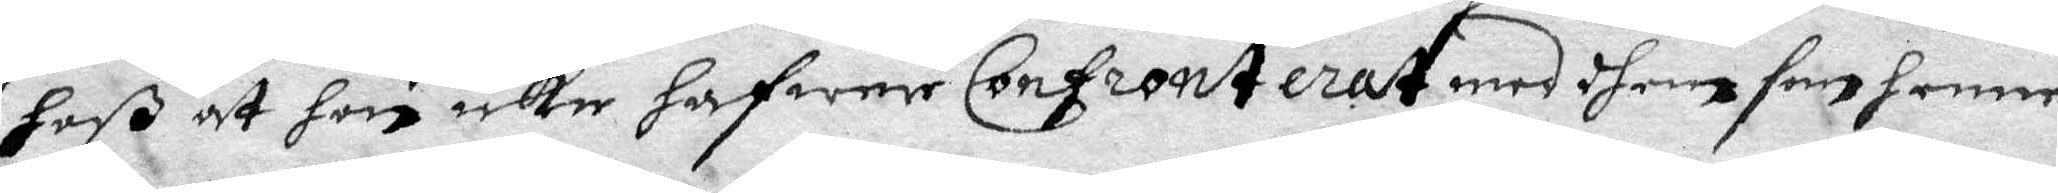hoß at hon icke hafwer Confronterat medh dhem som henne
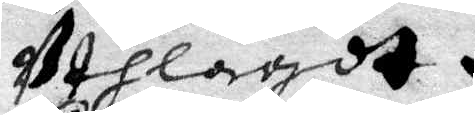Uthlagdt.
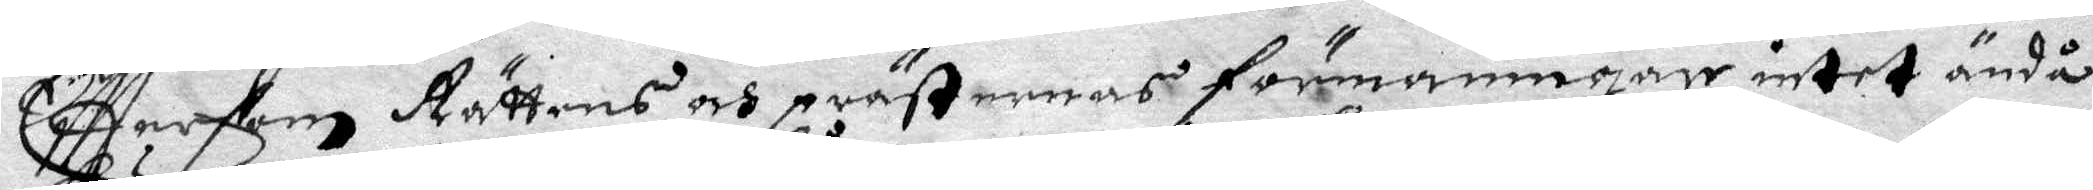Efttersom Rättens och prästernas förmaningar intet ändå
